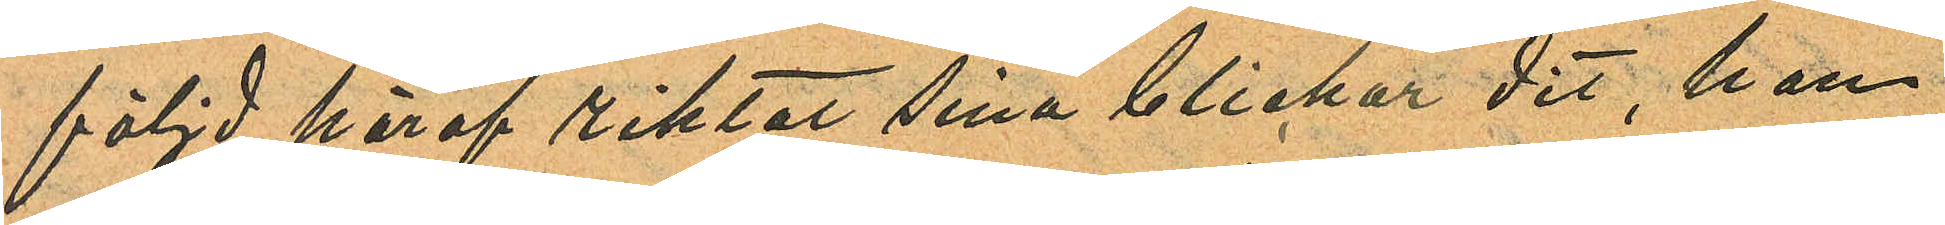följd häraf riktat sina blickar dit, han
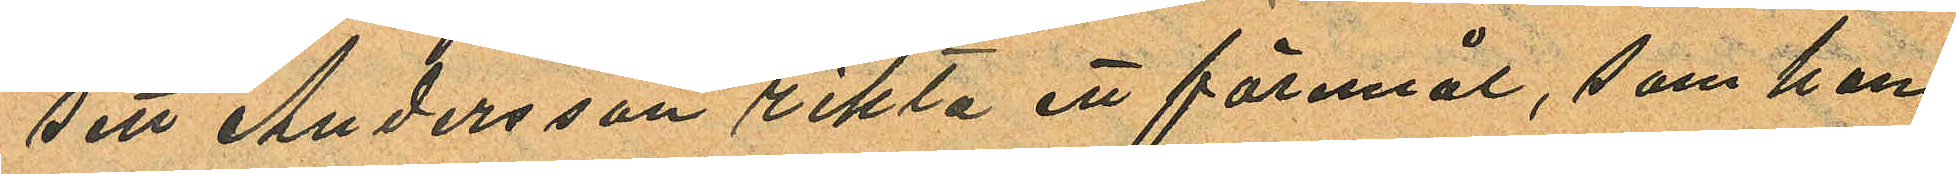sett Andersson rikta ett föremål, som han
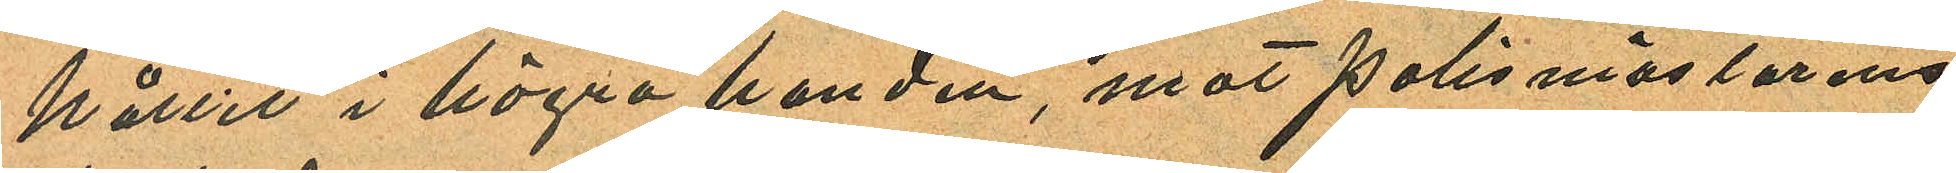hållit i högra handen, mot polismästärens
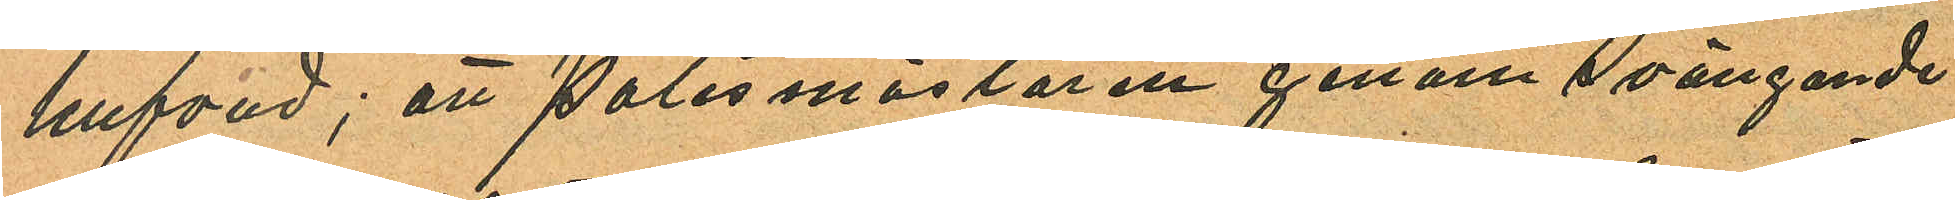hufvud; att polismästaren genom svängande
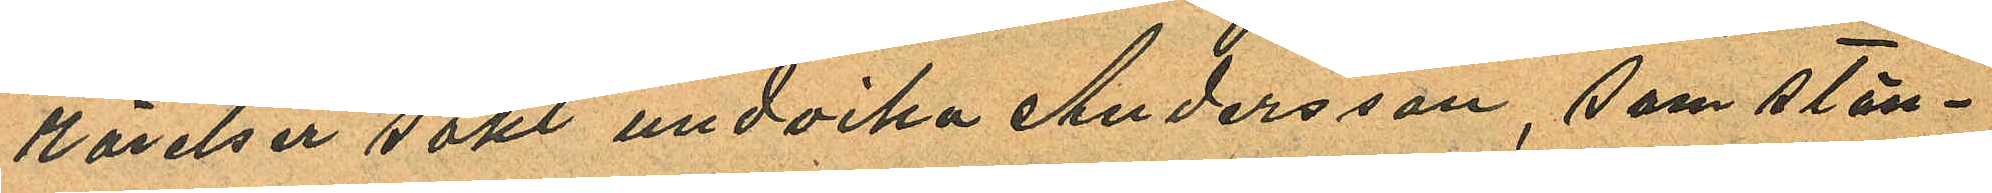rörelser sökt undvika Andersson, som stän¬
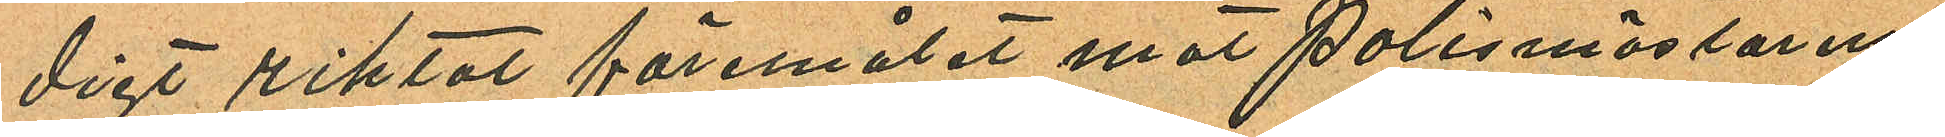digt riktat föremålet mot polismästärens
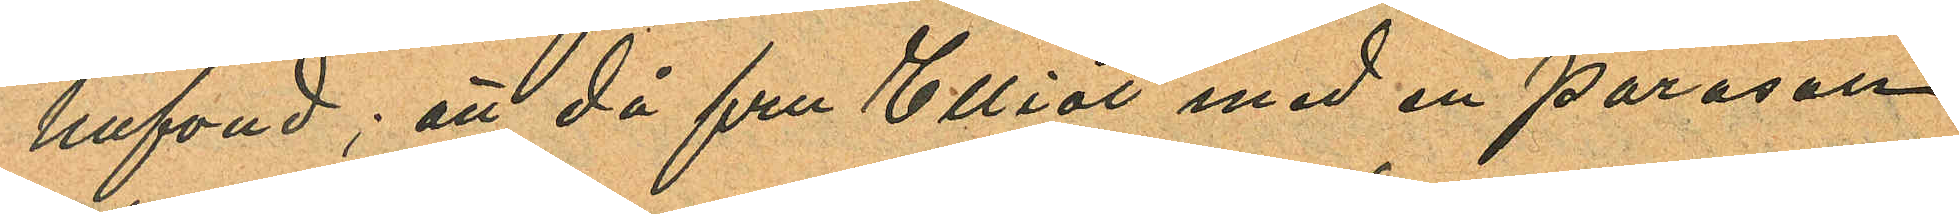hufvud; att då fru Elliot med en parasoll
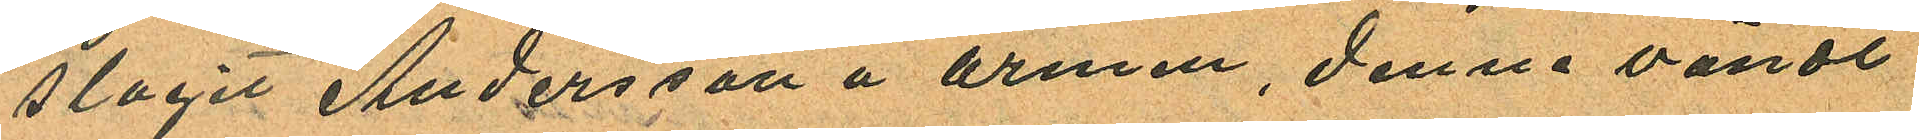slagit Andersson å armen, denne vändt
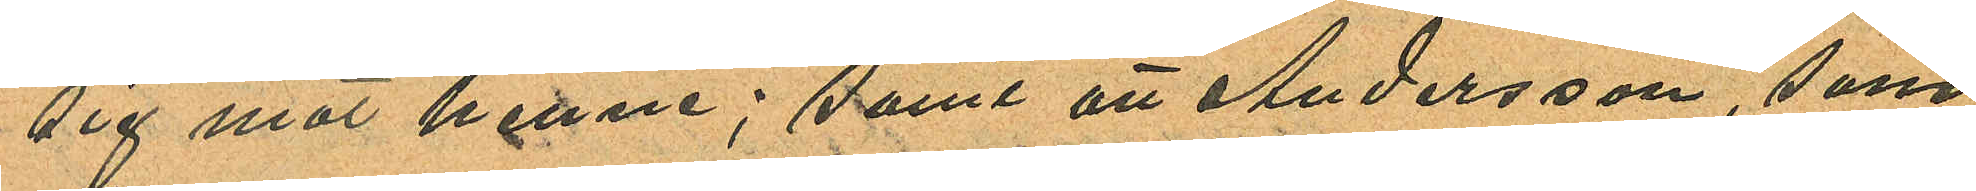sig mot henne; samt att Andersson, som
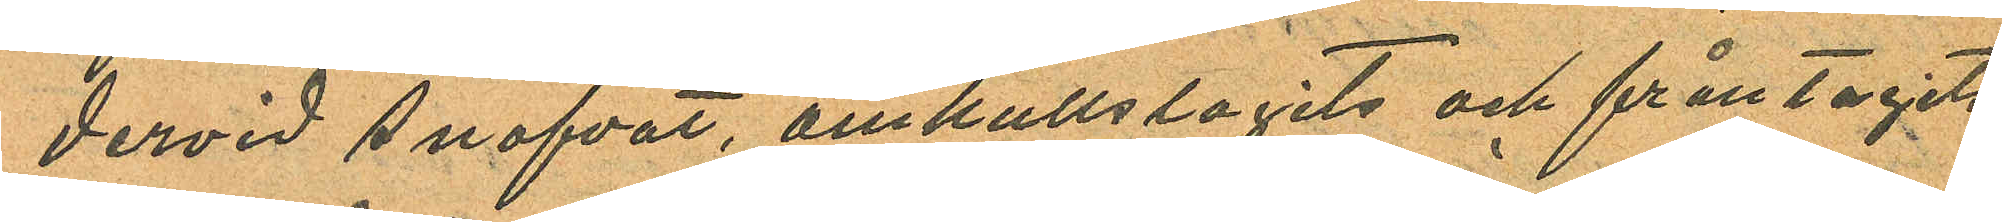dervid snafvat, omkullslagits och fråntagits
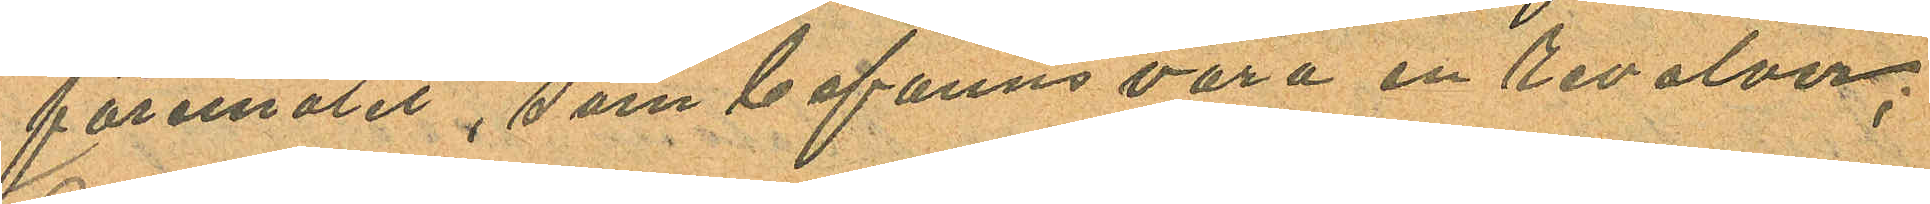föremålet, som befanns vara en revolver;
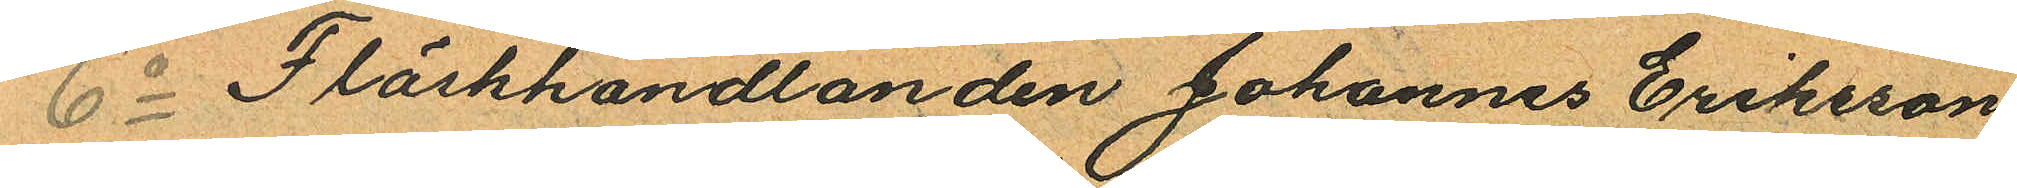6o Fläskhandlanden Johannes Eriksson
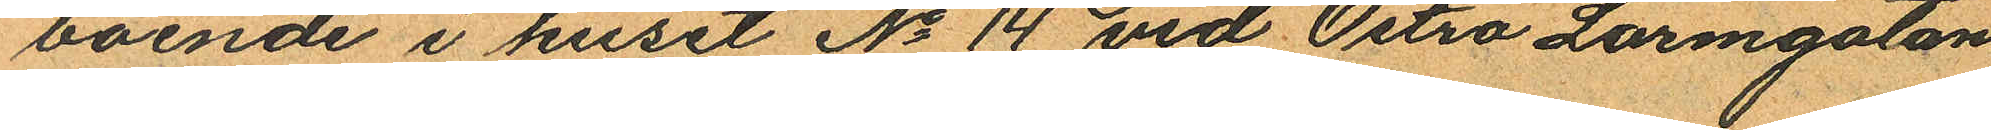boende i huset No 14 vid Östra Larmgatan
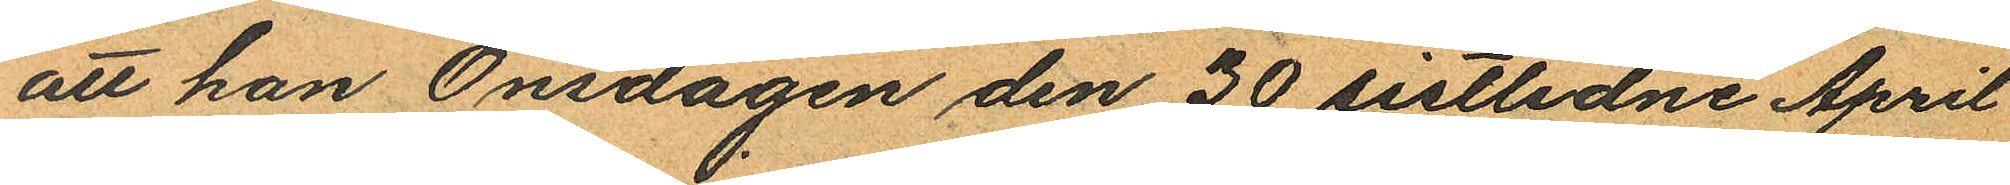att han Onsdagen den 30 sistlidne April
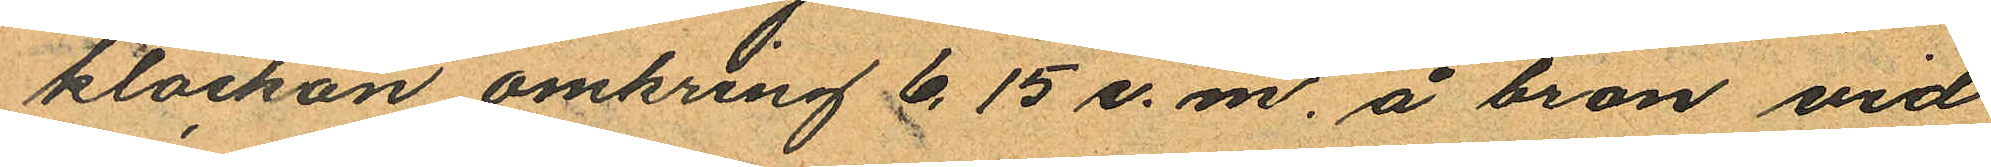klockan omkring 6,15 e. m. å bron vid
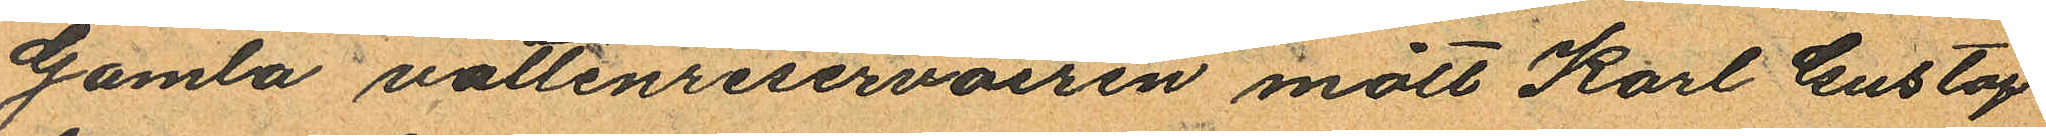Gamla vattenreservoiren mött Karl Gustaf
